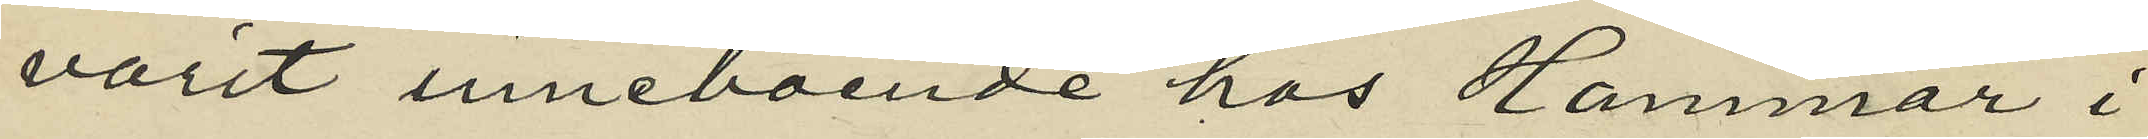varit inneboende hos Hammar i
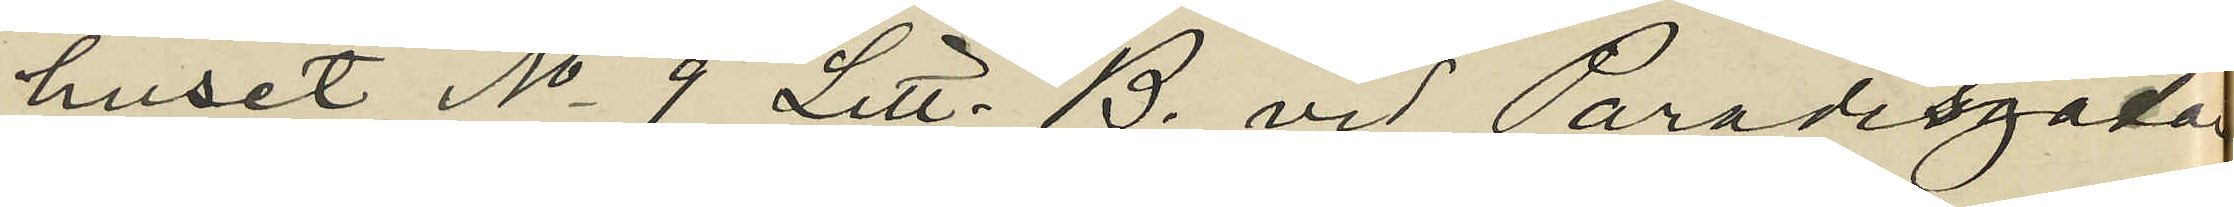huset No 9 Litt. B. vid Paradisgatan,
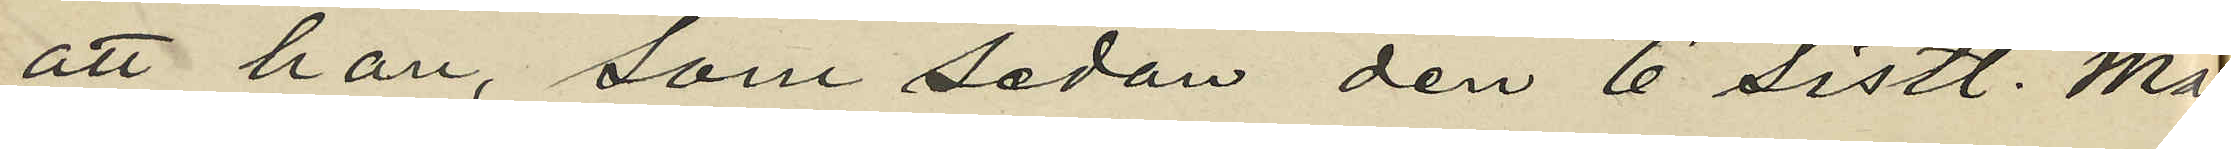att han, som sedan den 6 sistl. Maj
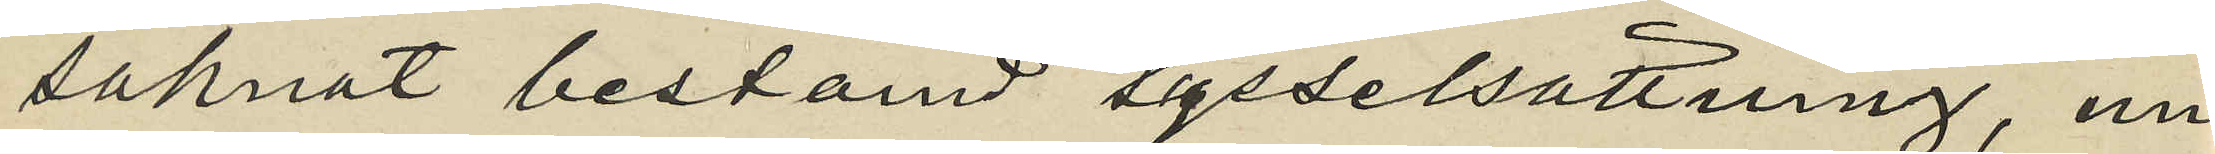saknat bestämd sysselsättning, un¬
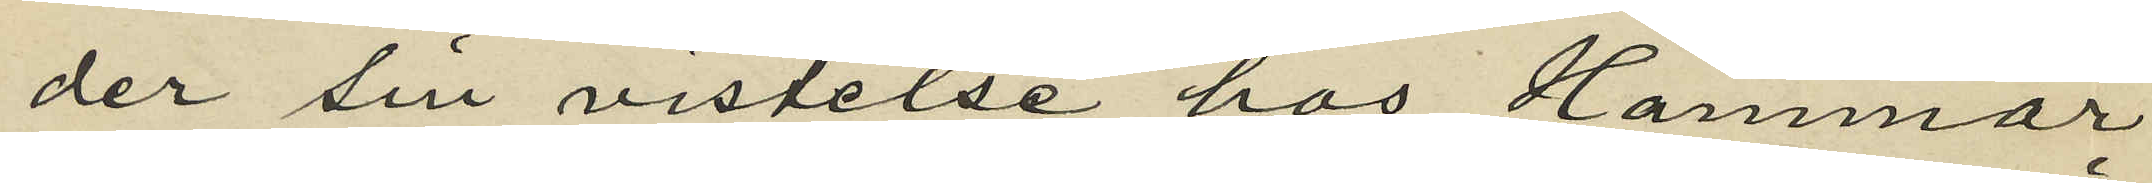der sin vistelse hos Hammar
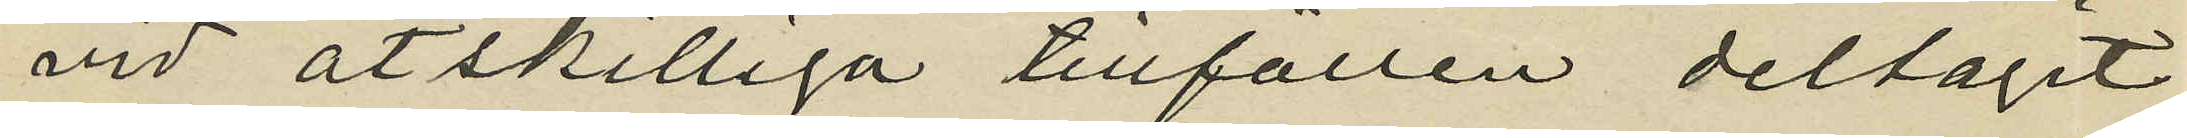vid åtskilliga tillfällen deltagit
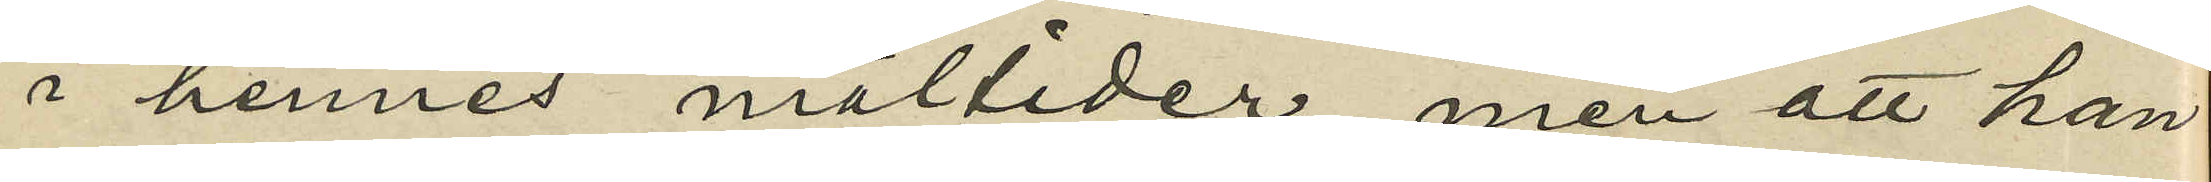i hennes måltider, men att han
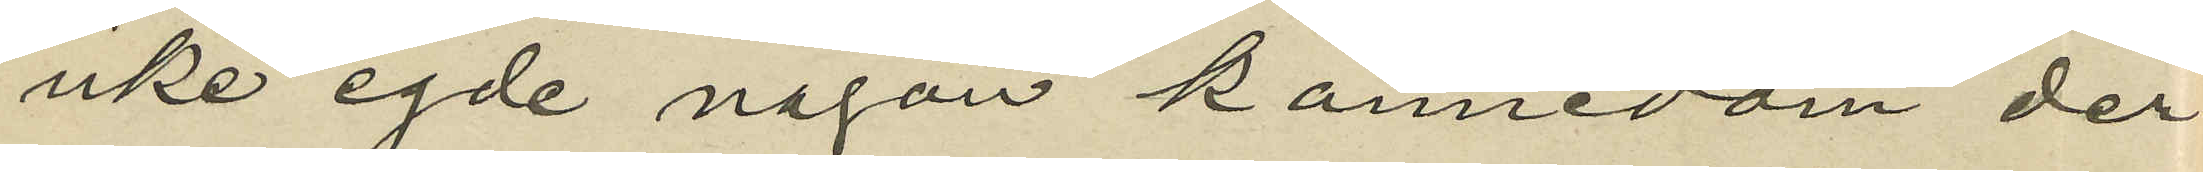icke egde någon kännedom der¬
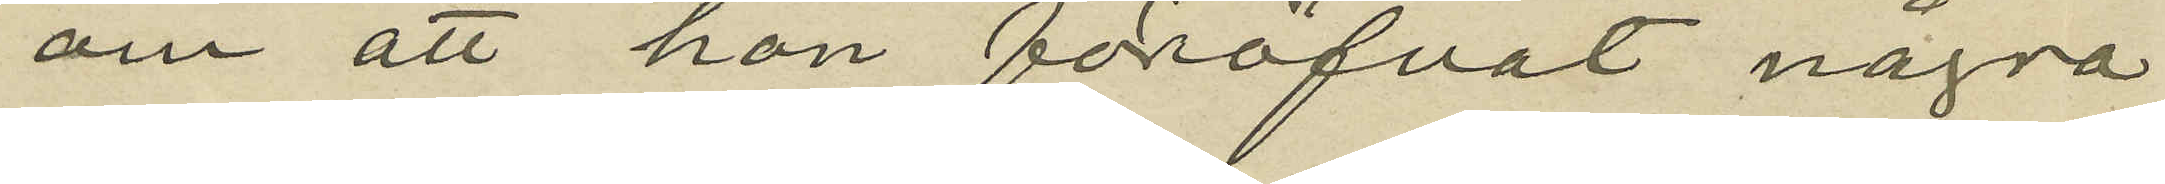om att hon föröfvat några
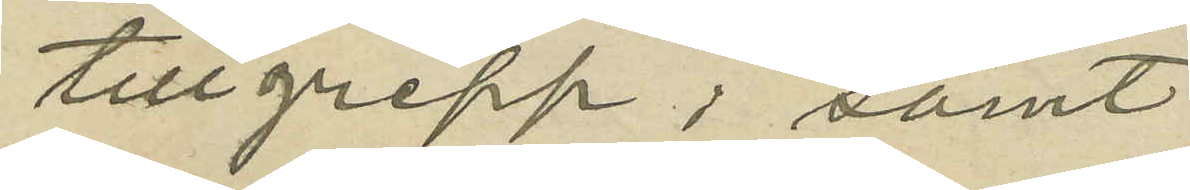tillgrepp; samt
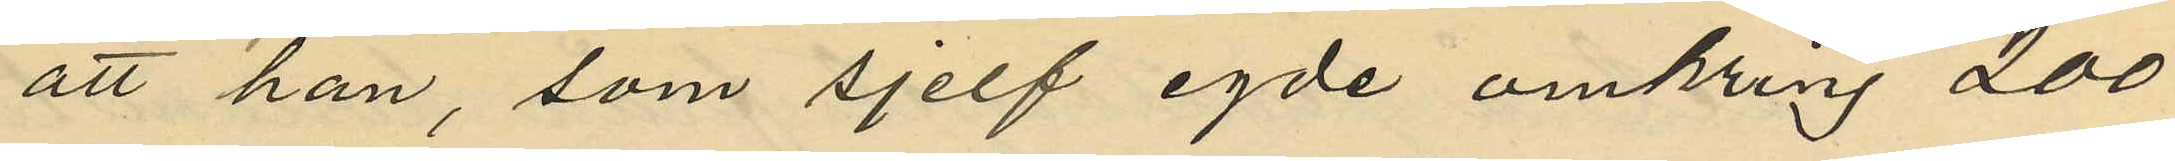att han, som sjelf egde omkring 200
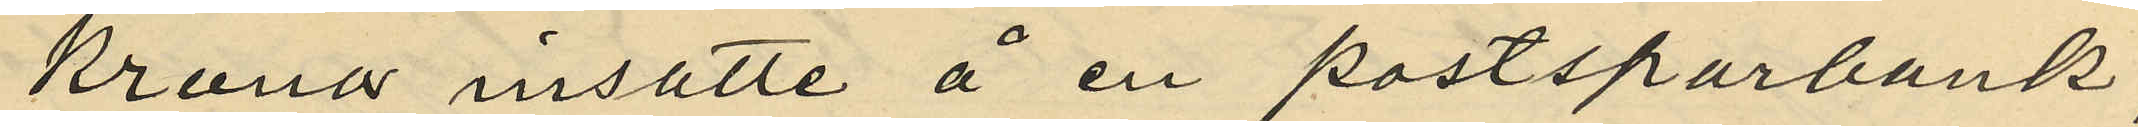kronor insatte å en postsparbank,
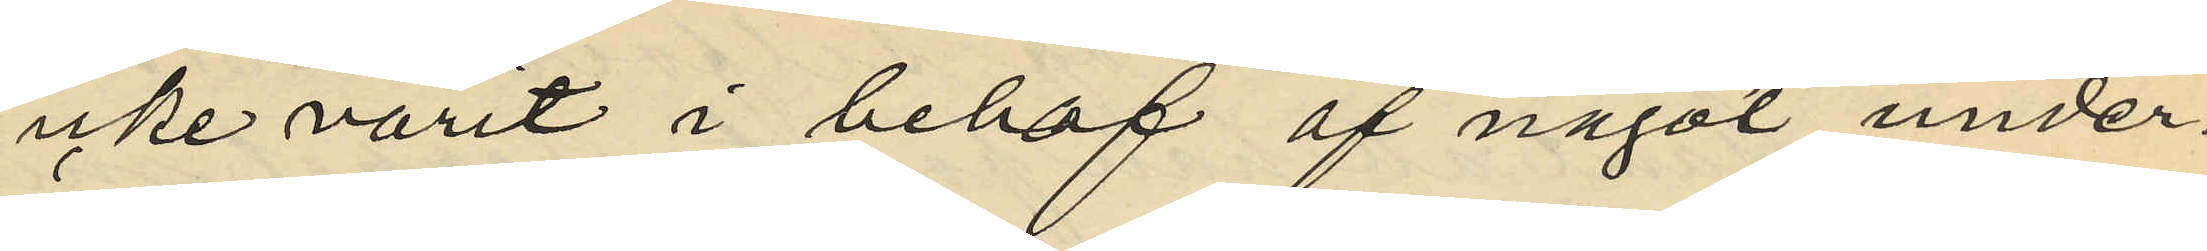icke varit i behof af något under¬
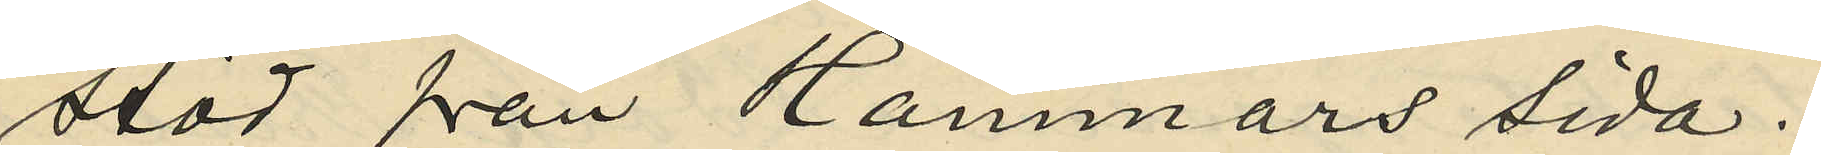stöd från Hammars sida.
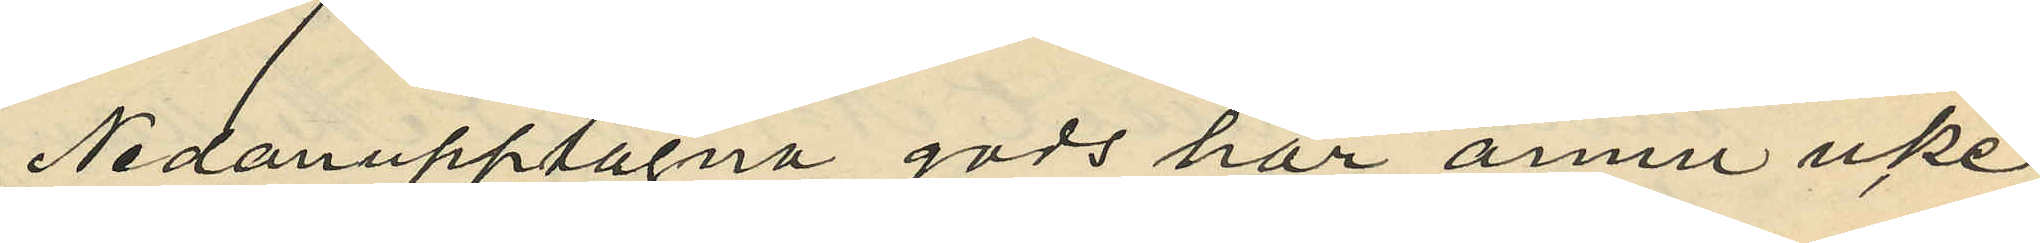Nedanupptagna gods har ännu icke
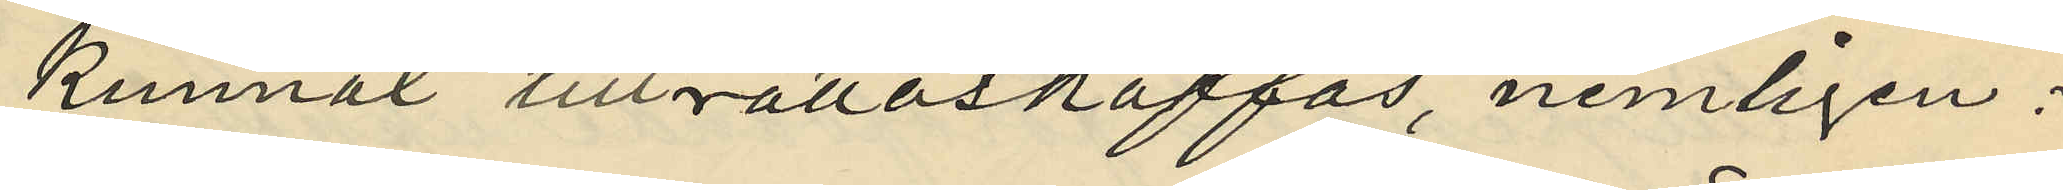kunnat tillrättaskaffas, nemligen:
